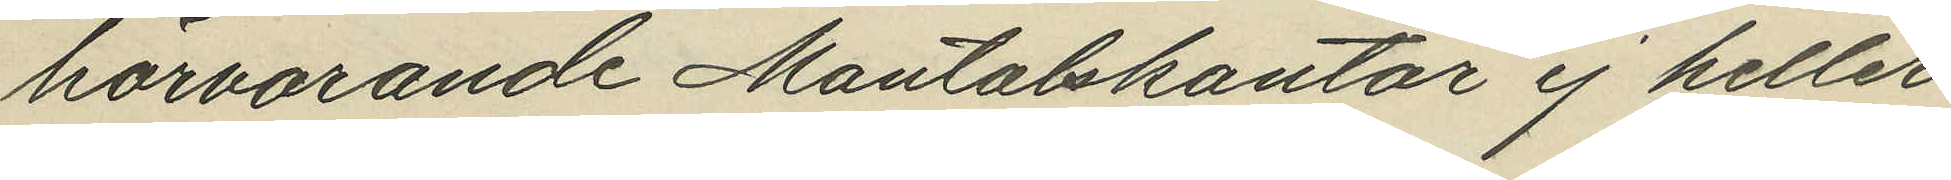härvarande Mantalskontor ej heller
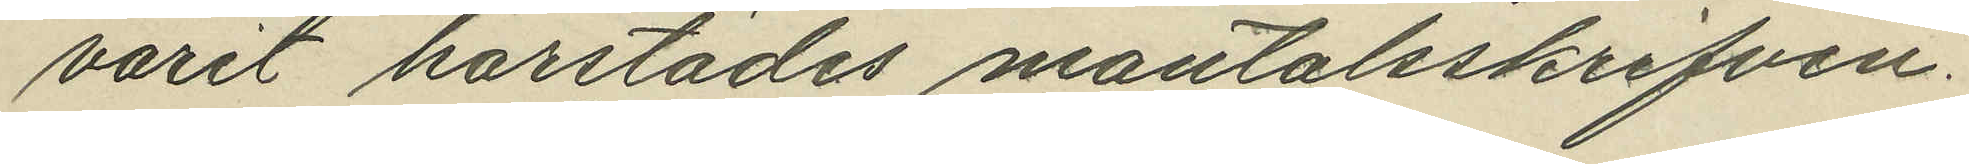varit härstädes mantalsskrifven.
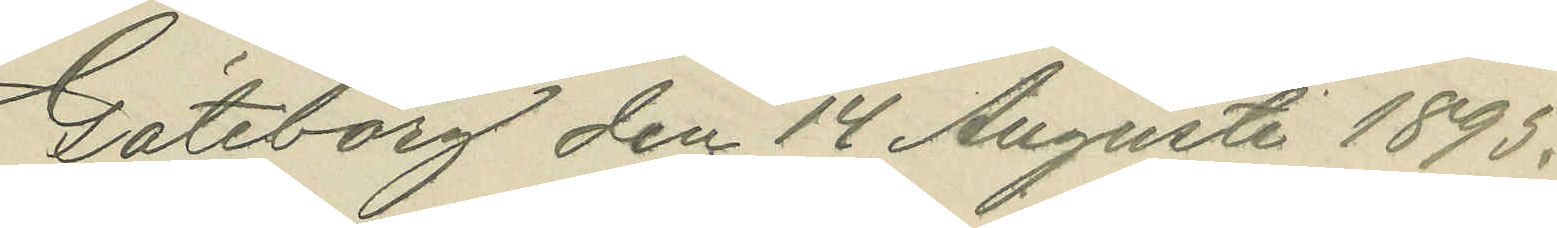Göteborg den 14 Augusti 1895.
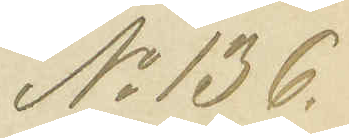No 136.
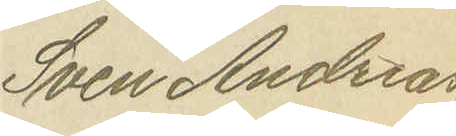Sven Andreas¬
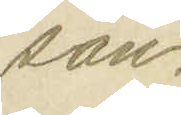son.
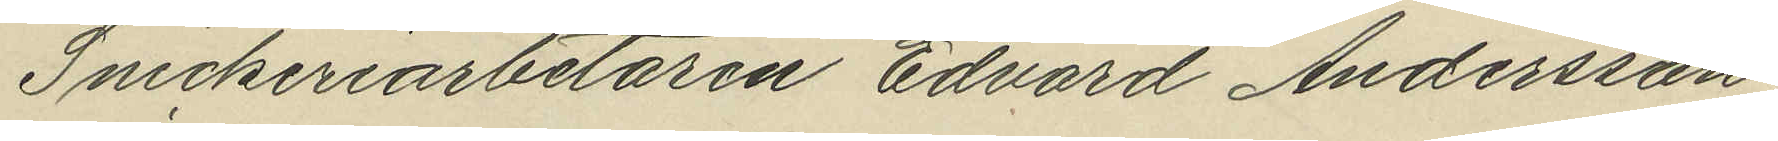Snickeriarbetaren Edvard Andersson
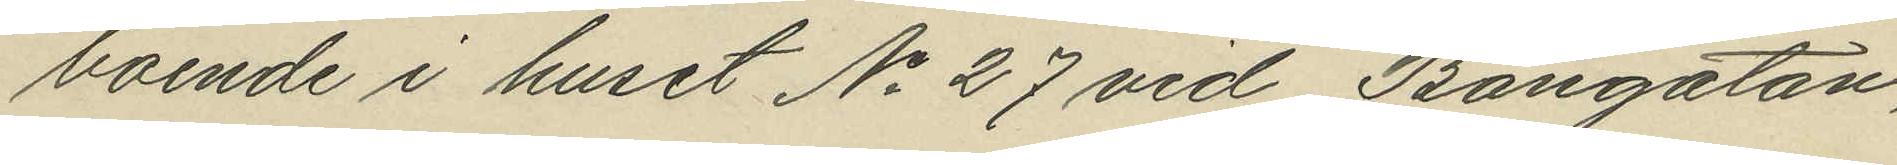boende i huset No 27 vid Bangatan,
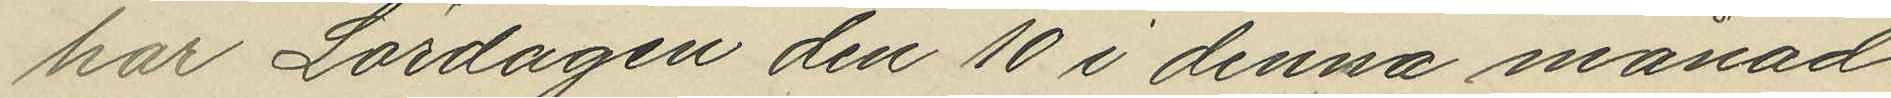har Lördagen den 10 i denna månad
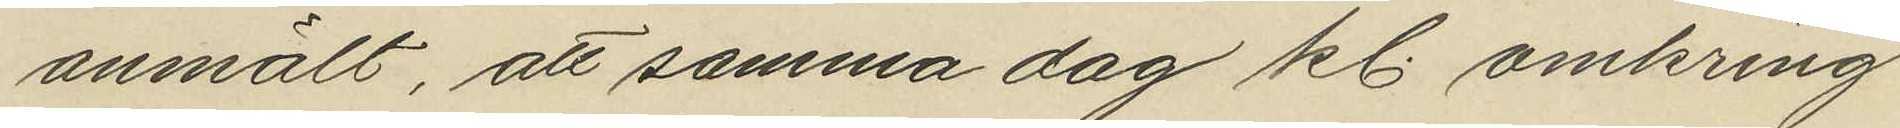anmält, att samma dag kl. omkring
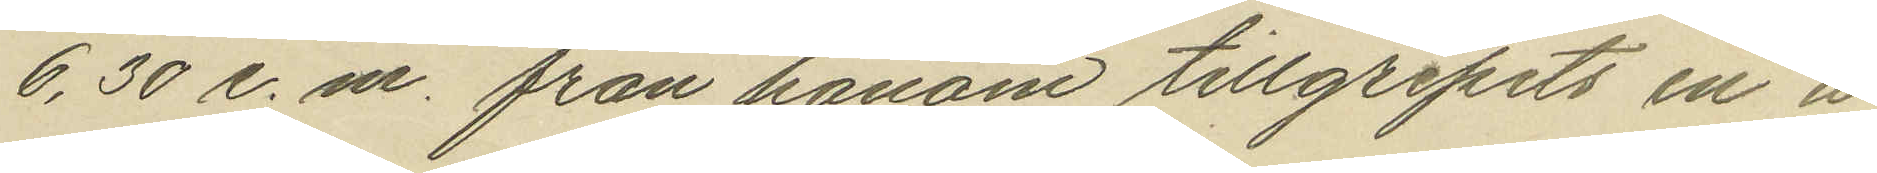6,30 e.m. från honom tillgripits en å
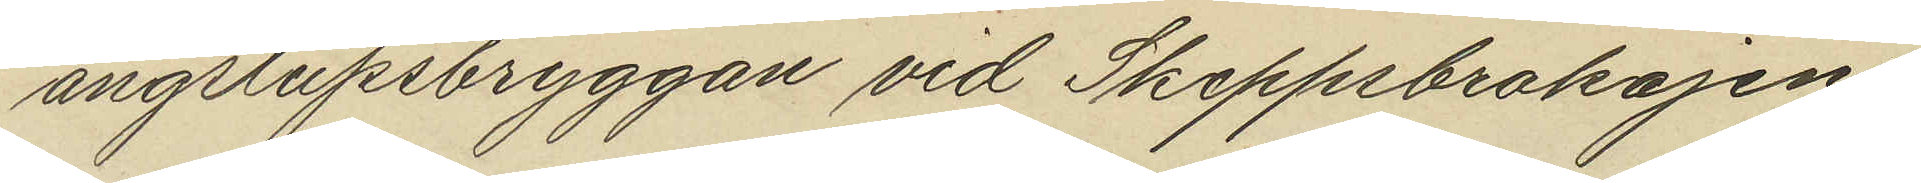ångslupsbryggan vid Skeppsbrokajen
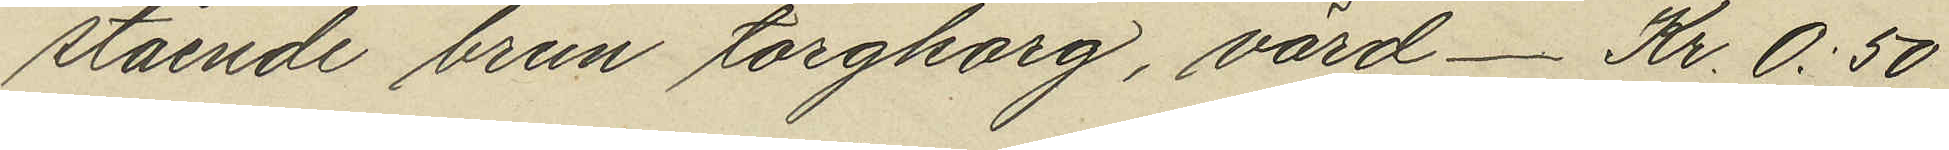stående brun torgkorg, värd _ Kr. 0:50
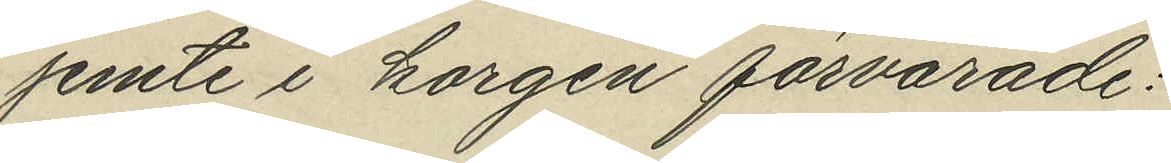jemte i korgen förvarade:
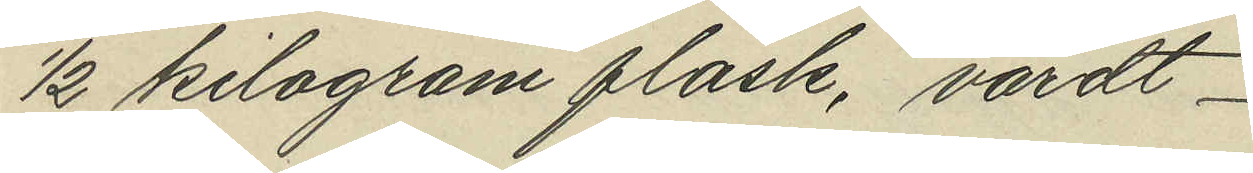1/2 kilogram fläsk, värdt
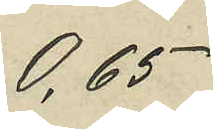0,65
